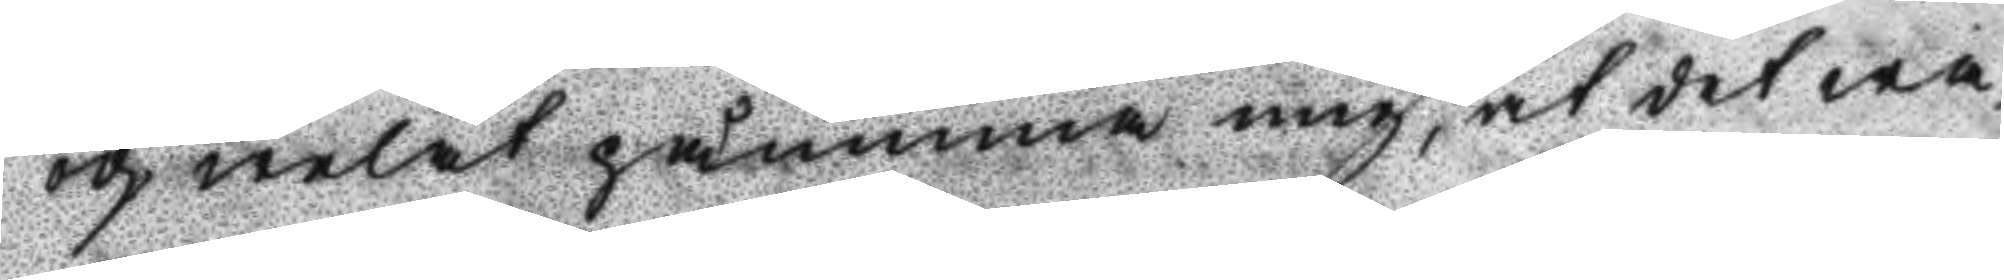och welat påminna mig, at det wa¬
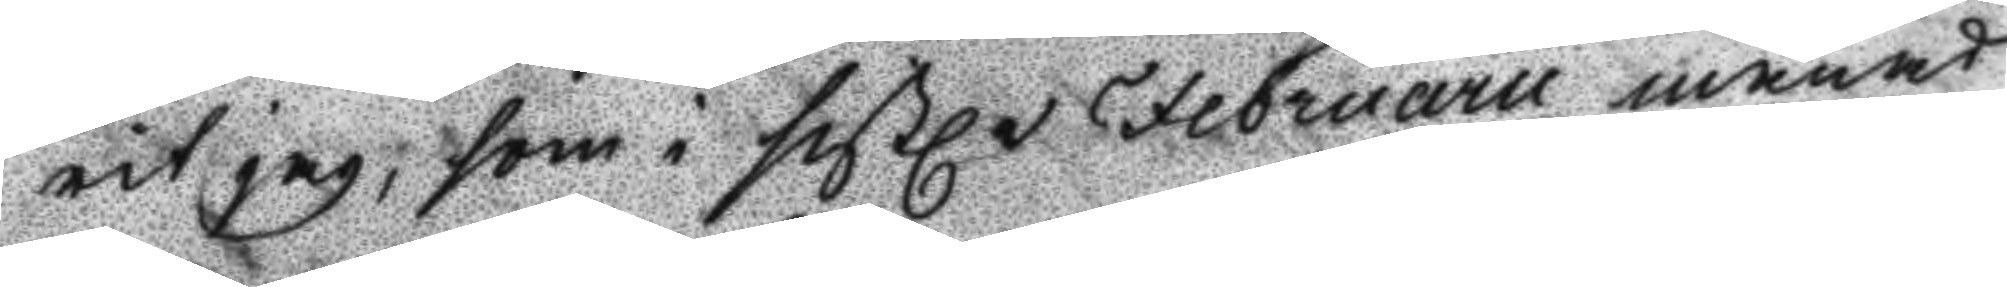rit jag, som i sistle Februarii månad
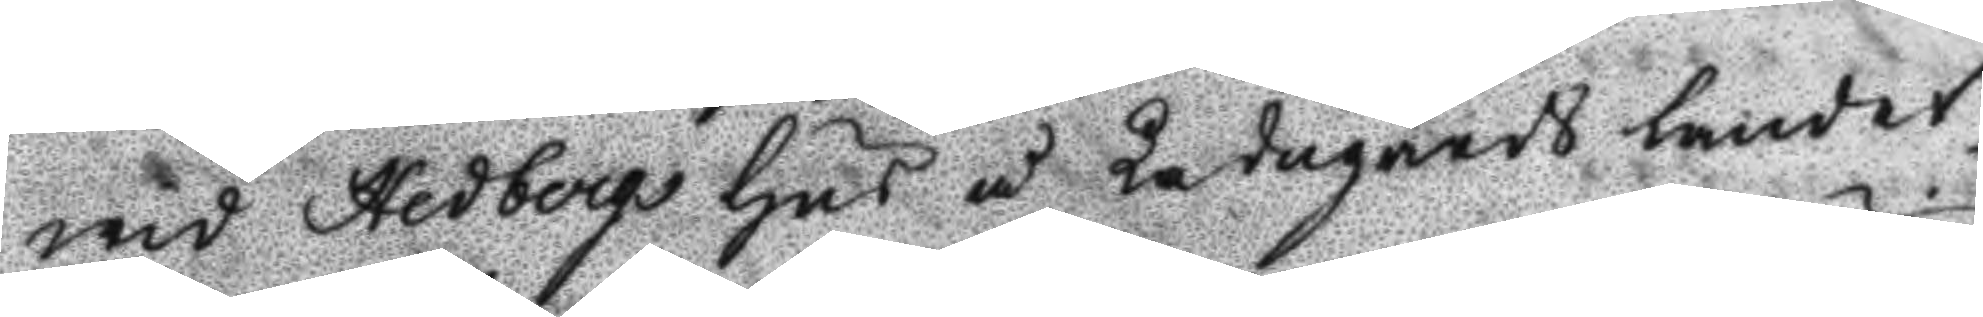wid Hedbergs hus å Ladugårds landet
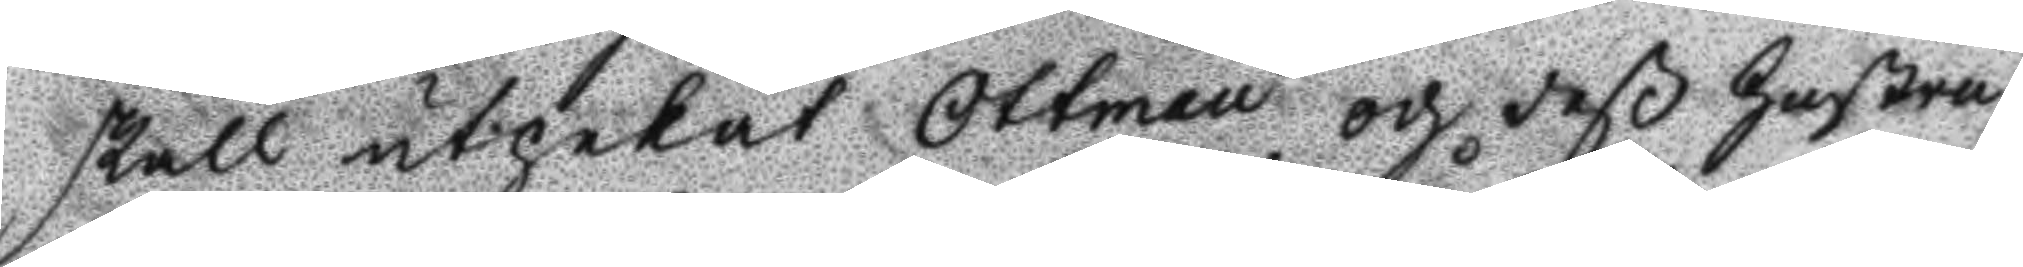skall utpekat Ottman och deß hustru
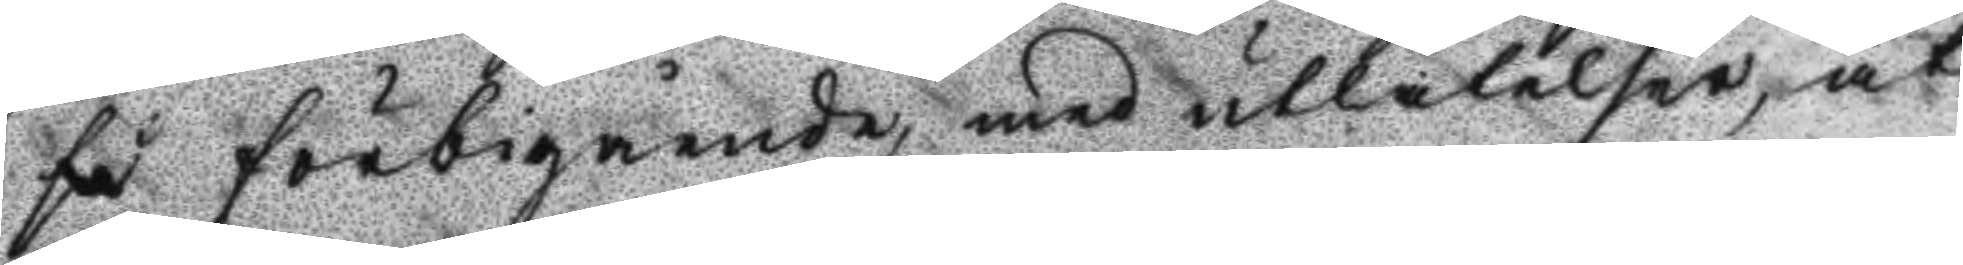få förbigående, med utlåtelser, at
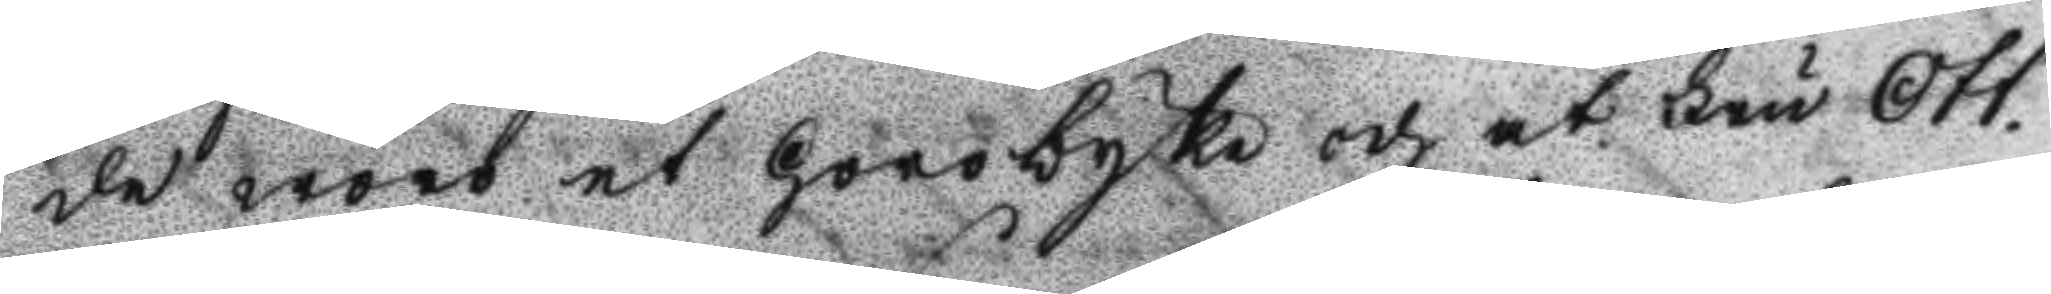de wore et horobyke och at Fru Ott¬
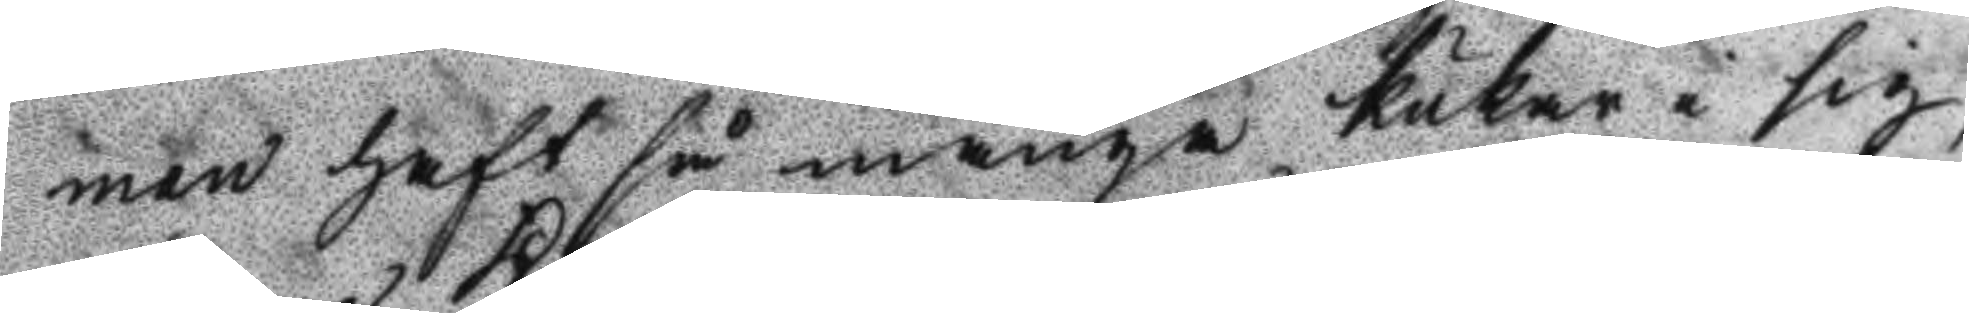man haft så många kukar i sig,
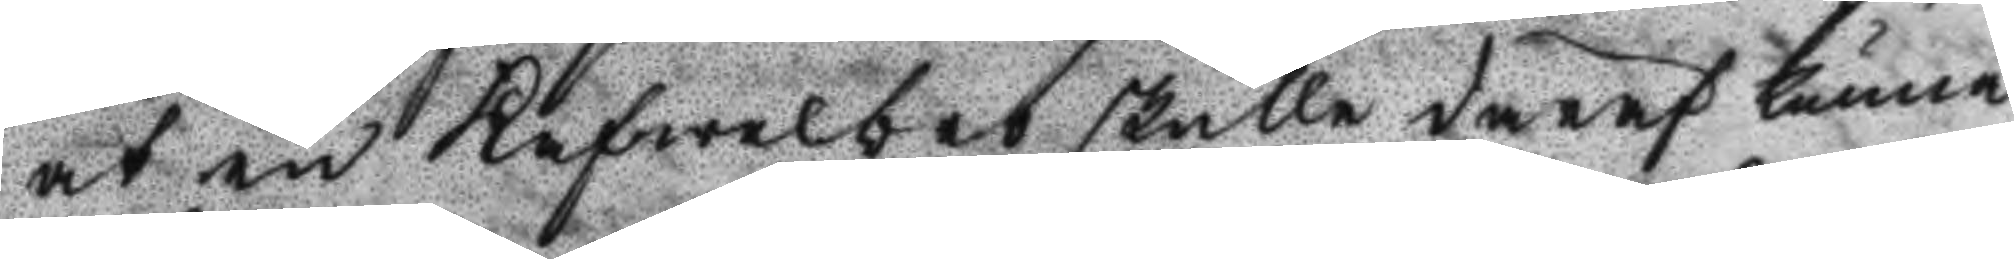at en Kafwelsbro skulle deraf kunna
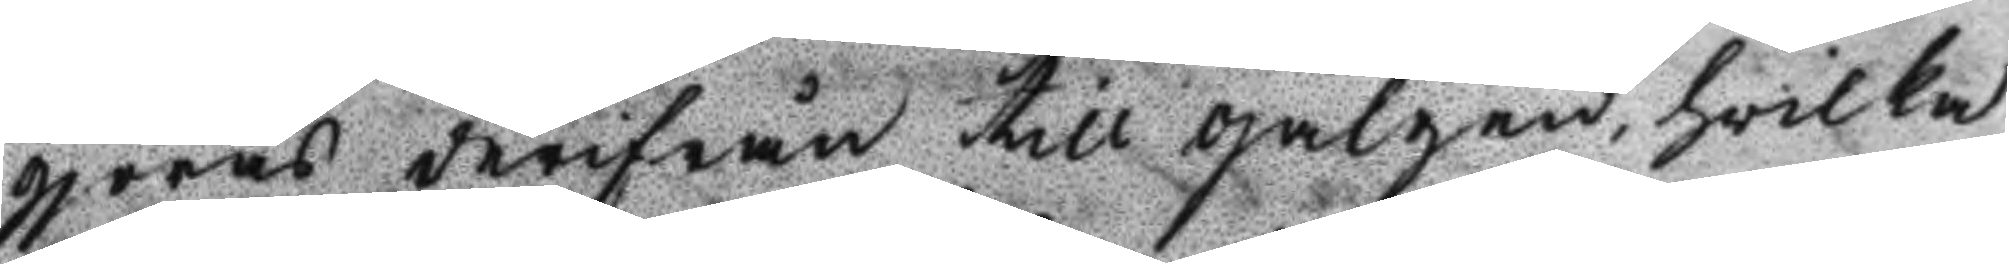gjöras derifrån till galgen, hwilka
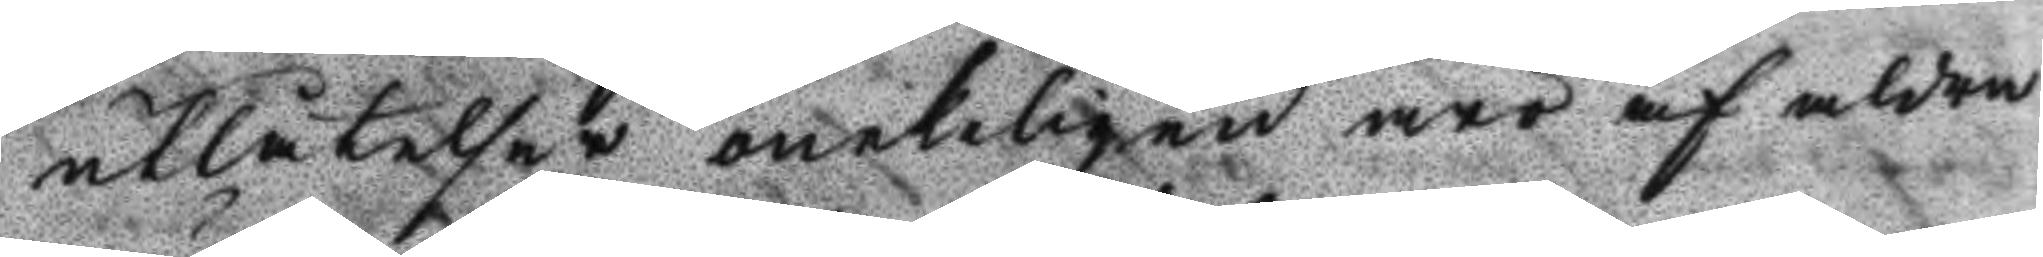utlåtelser onekeligen äro af aldra
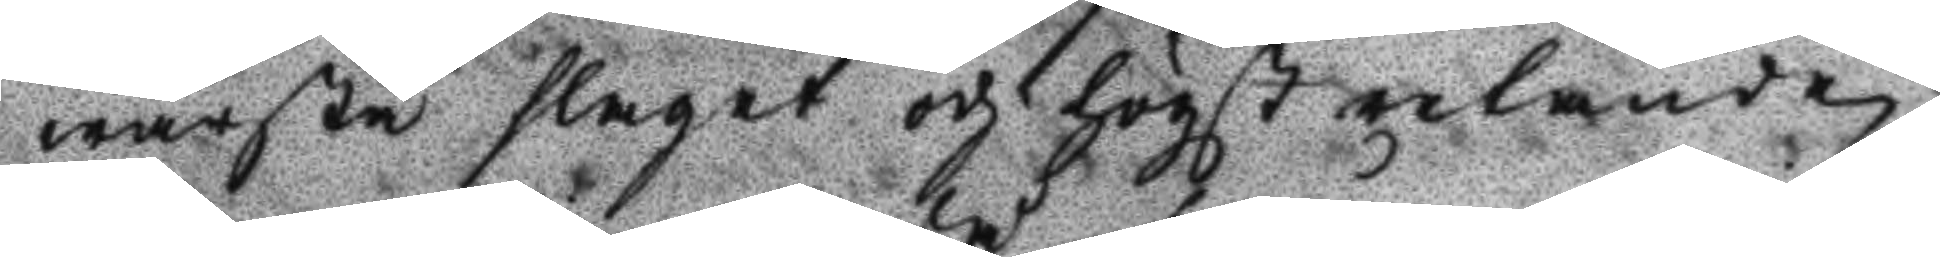wärsta slaget och högst retande,
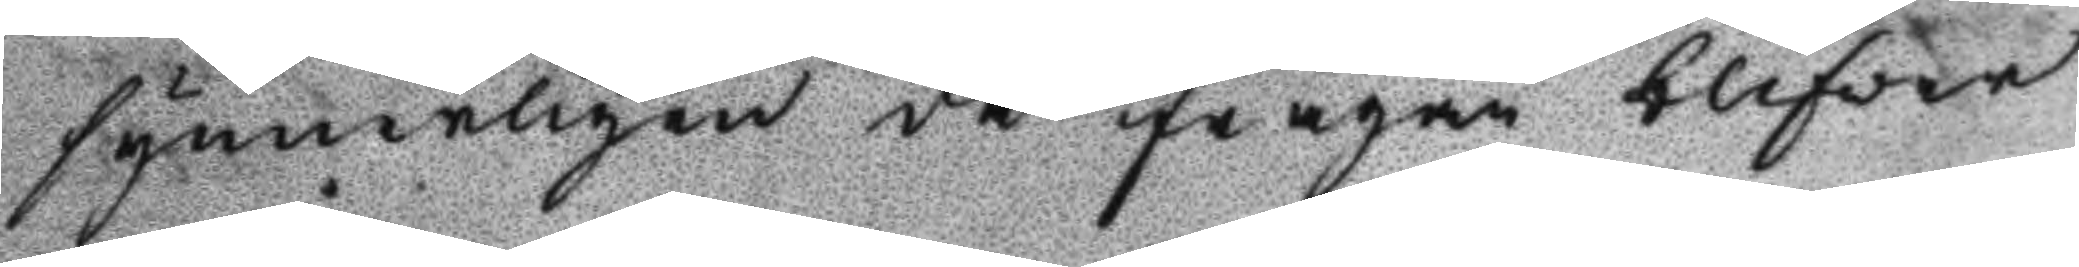synnerligen då frågan blifver
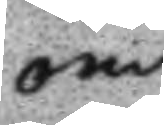om
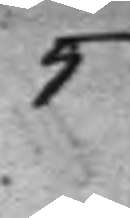5
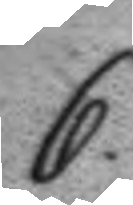6.
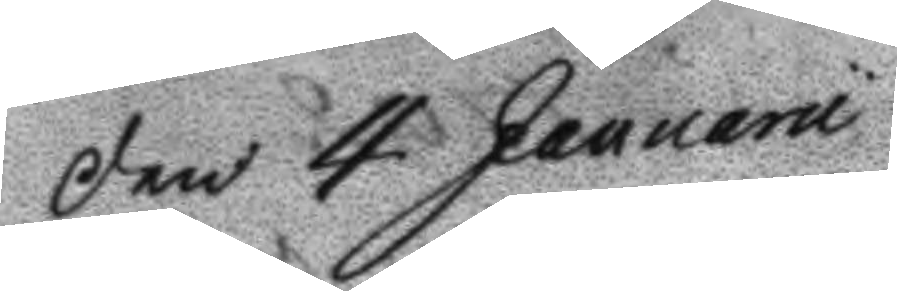den 4 Januarii
